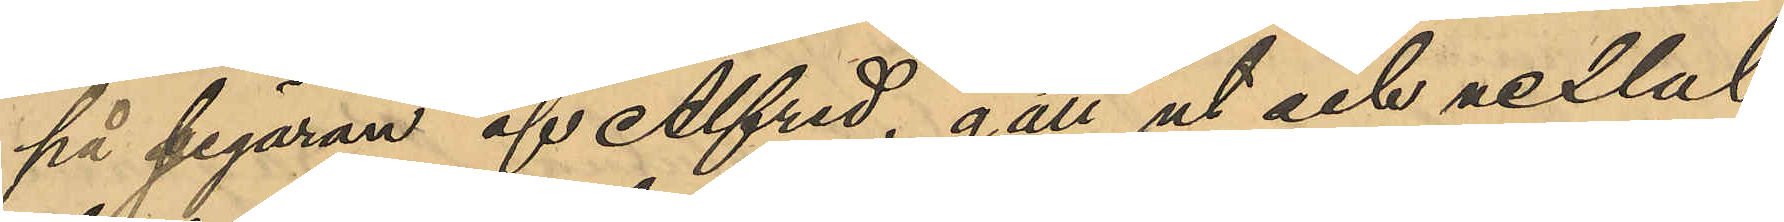på segaran af Alfred, gått ut och vexlat
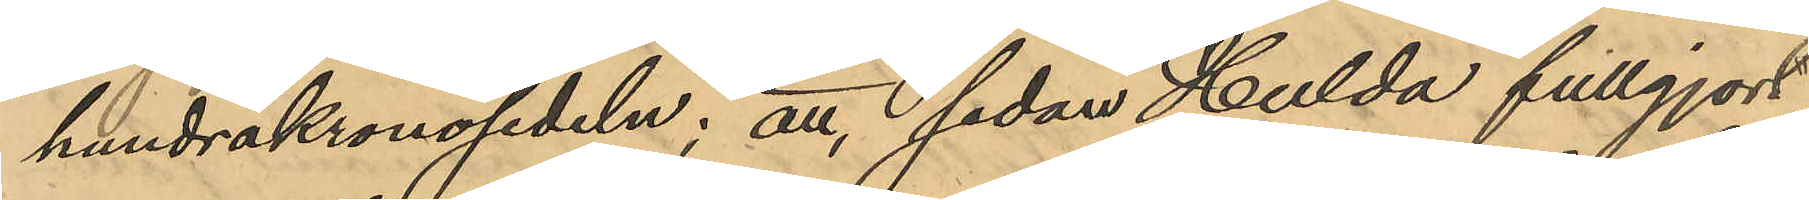hundrakronosedeln; att sedan Hulda fullgjort
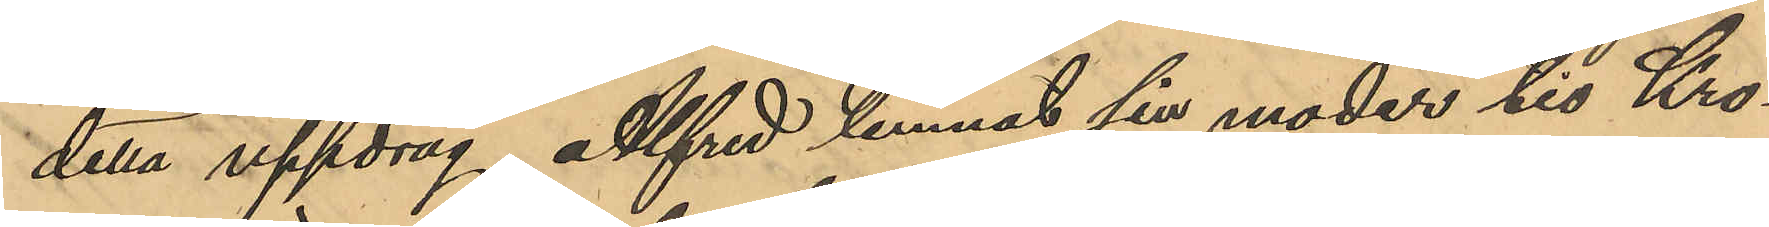detta uppdrag, Alfred lemnat sin moder tio Kro¬
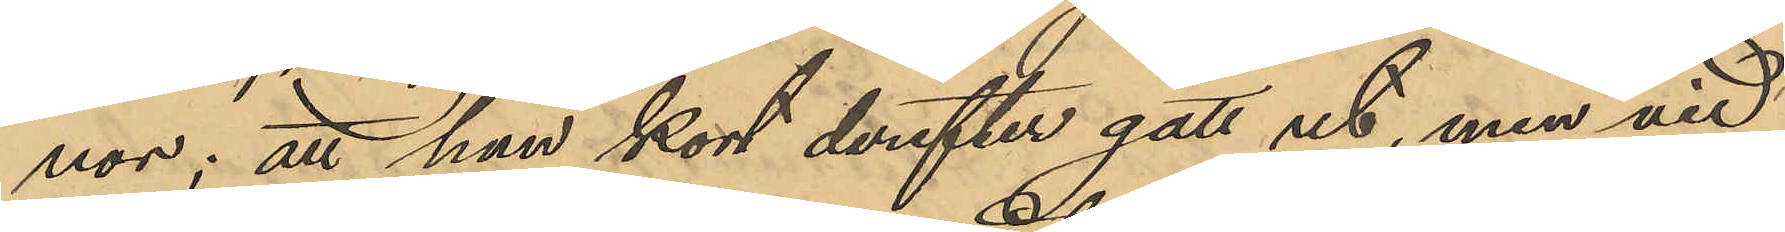nor; att han kort derefter gått ut, men vid
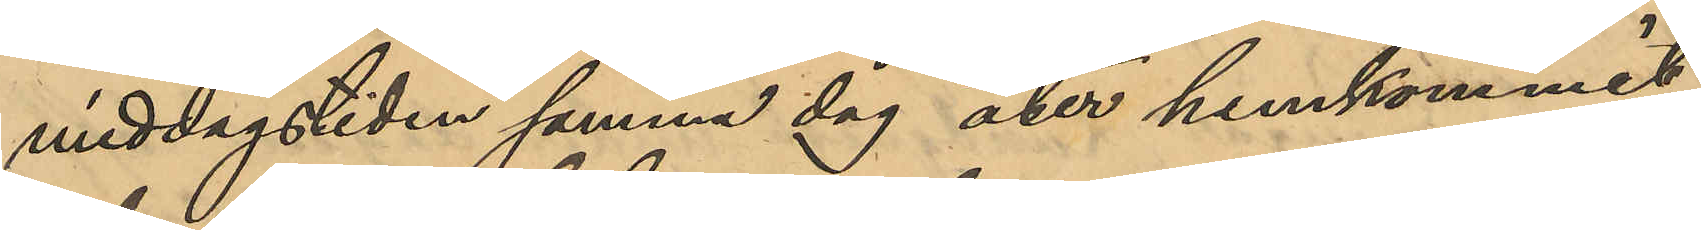middagstiden samma dag åter hemkommit
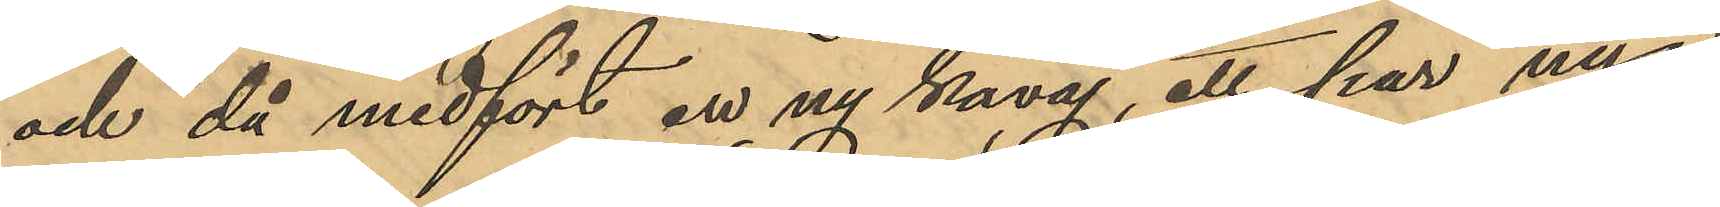och då medfört en ny kavaj, ett par nya
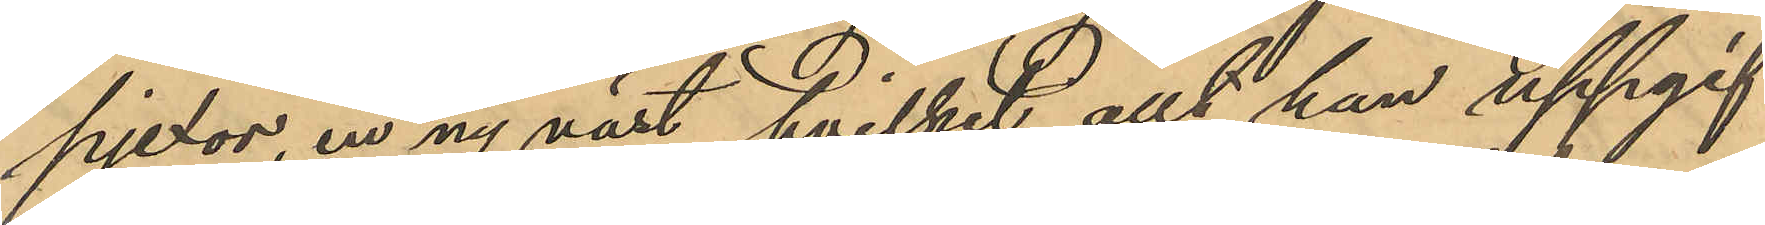pjexor, en ny väst, hvilket allt han uppgif¬
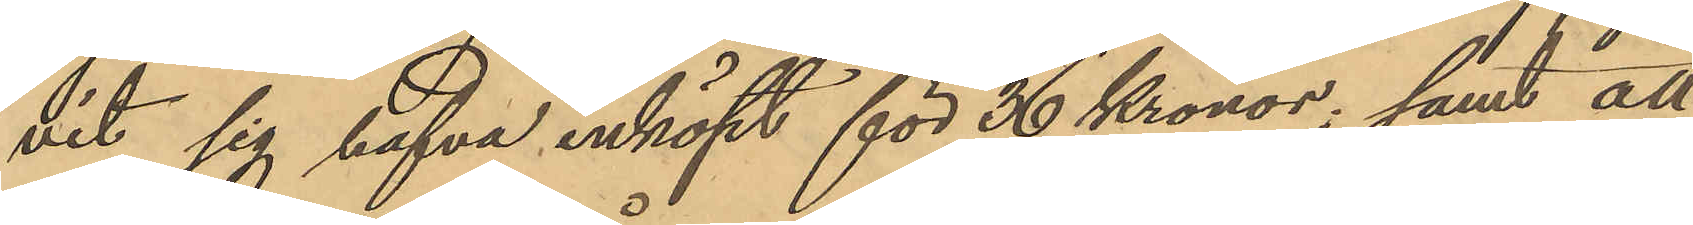vit sig hafva inköpt för 36 Kronor; samt att
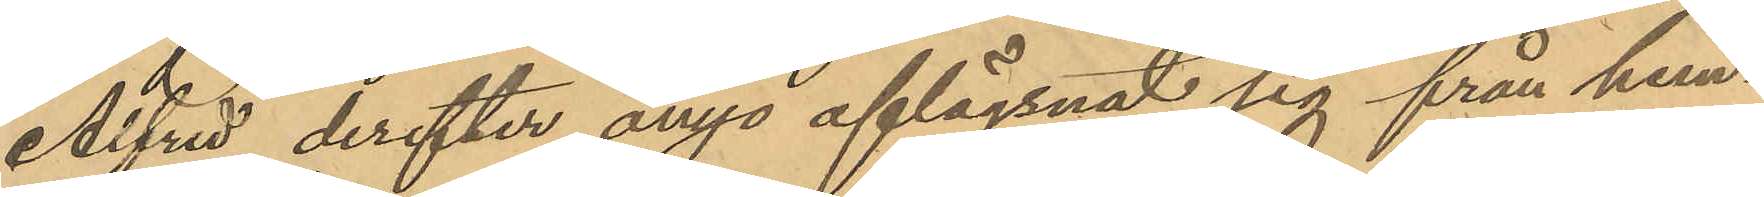Alfred derefter ånyo aflägsnat sig från hem¬
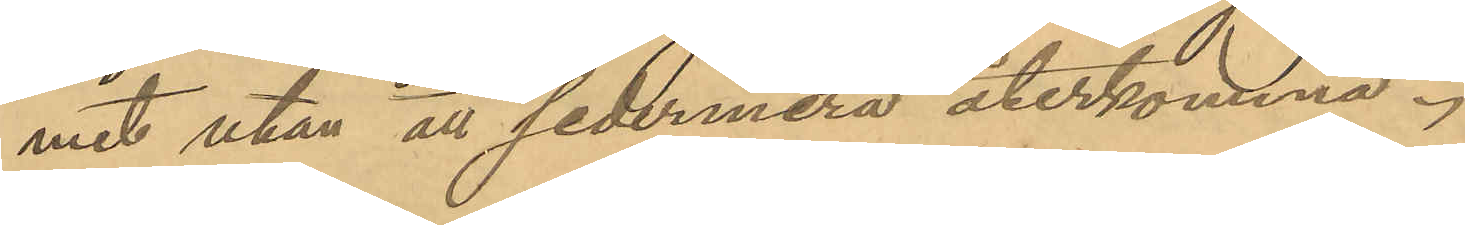met utan att sedermera återkomma.
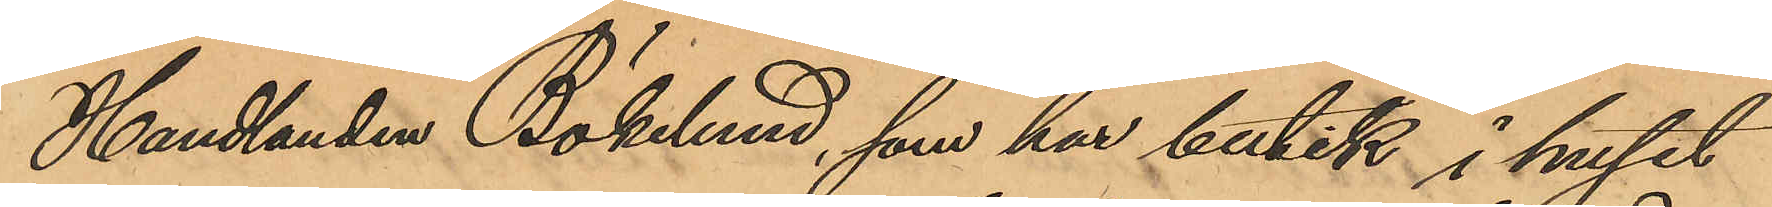Handlanden Bökelund, som har butik i huset
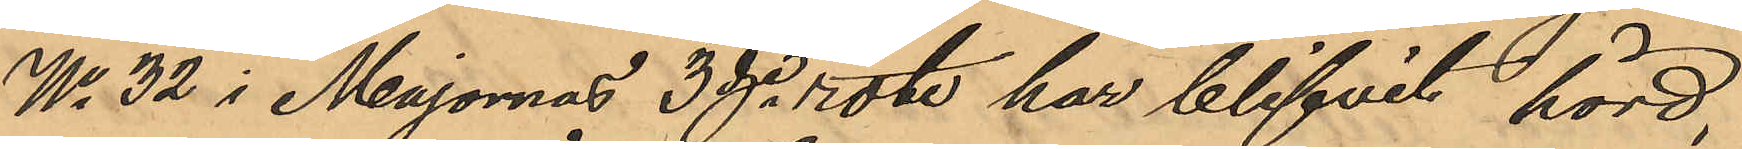No 32 i Majornas 3dje rote har blifvit hörd,
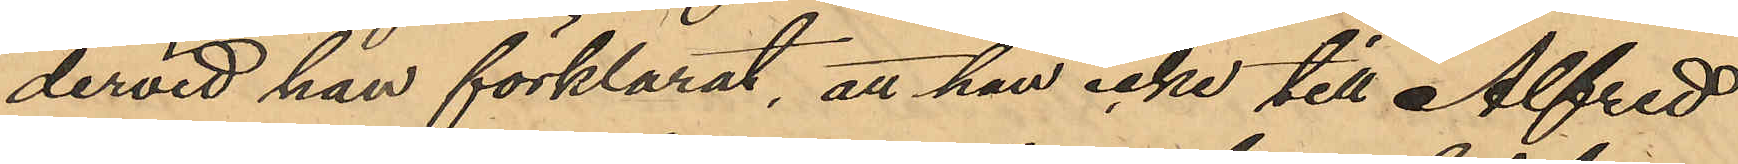dervid han förklarat, att han icke till Alfred
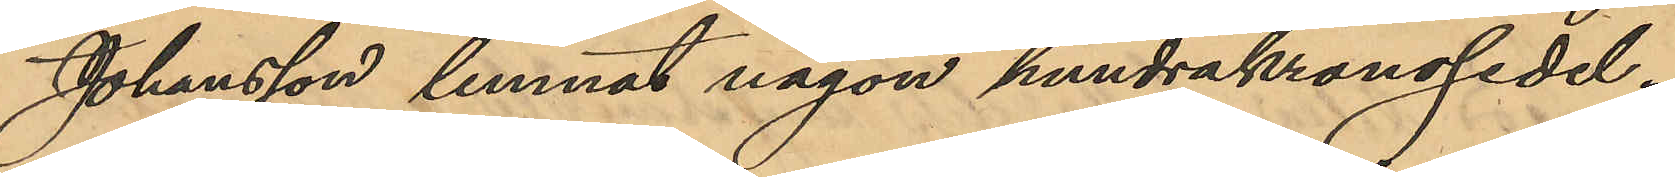Johansson lemnat någon hundrakronosedel.
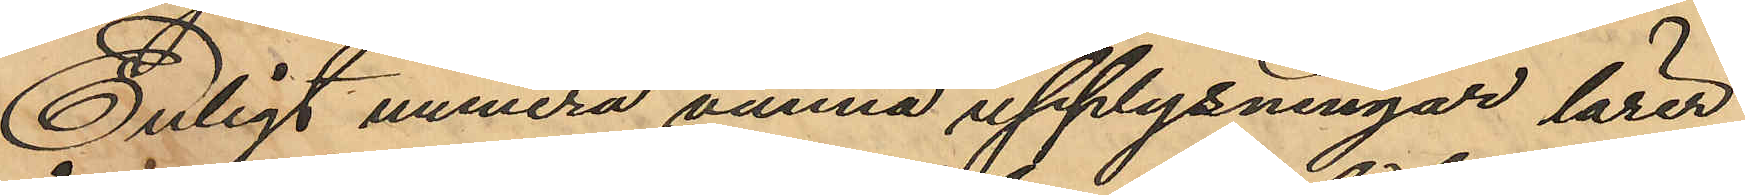Enligt numera vunna upplysningar lärer
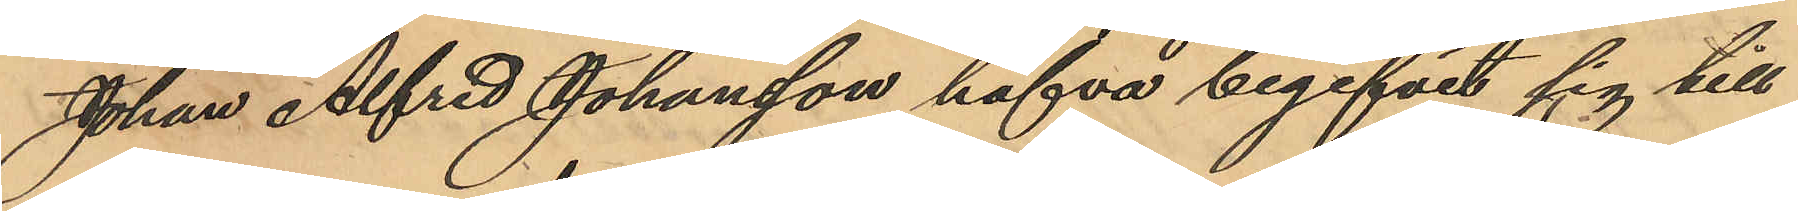Johan Alfred Johansson hafva begifvit sig till
